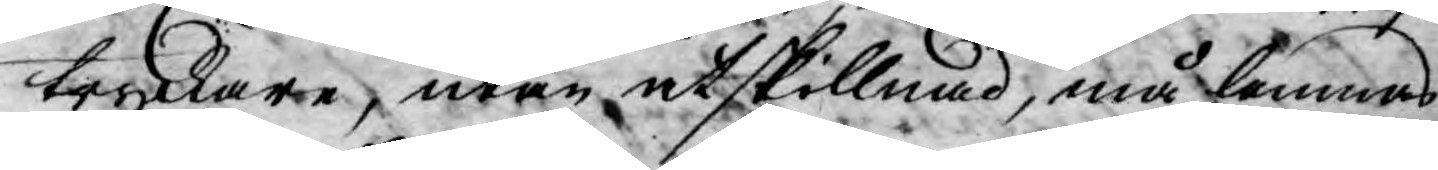tryckare, utan åtskillnad, må lemnas
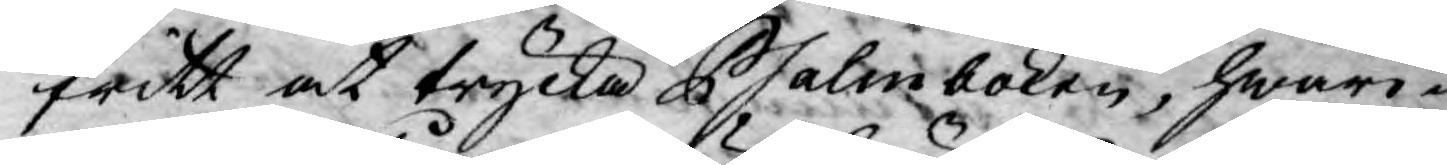fritt at trycka Psalmboken, hwari¬
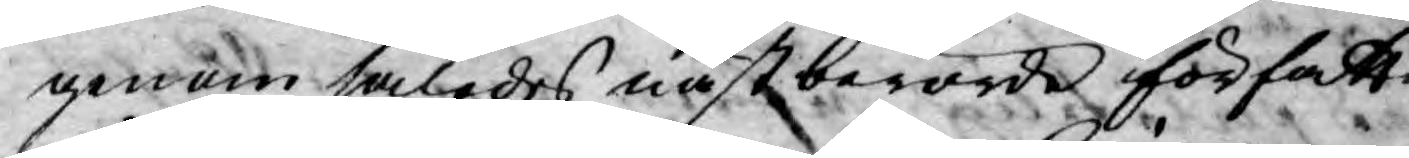genom således nästberörde författ¬
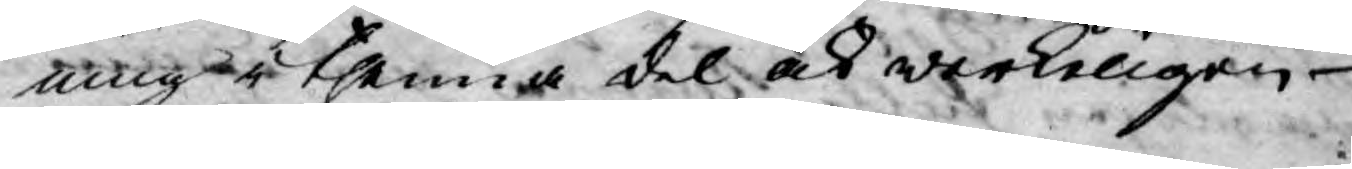ning i thenna del ock werkeligen
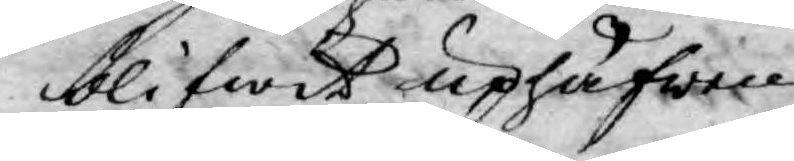blifwit uphäfwen.
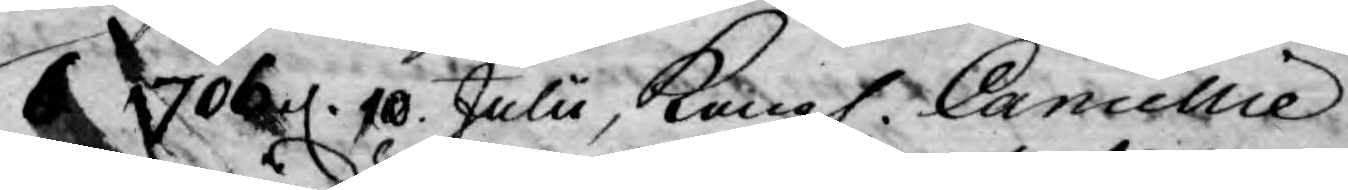6. 1706 d. 10 Julii, Kongl. Cancellie
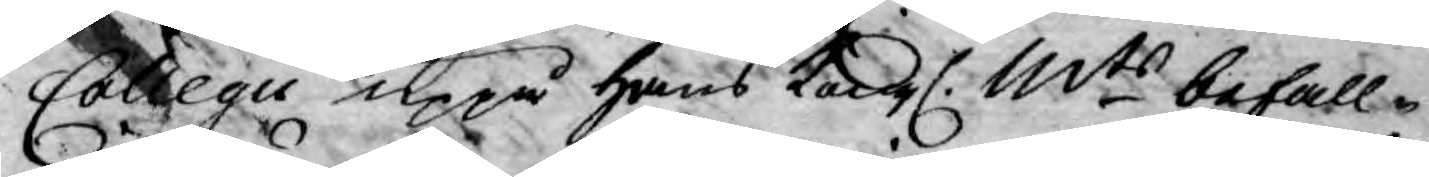Collegii uppå Hans Kongl. Mts befall¬
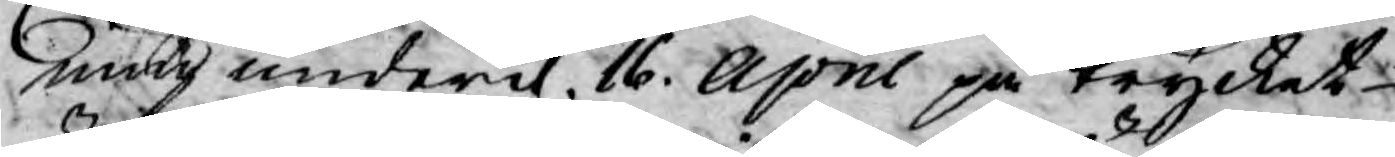ning under d. 16. April på trycket
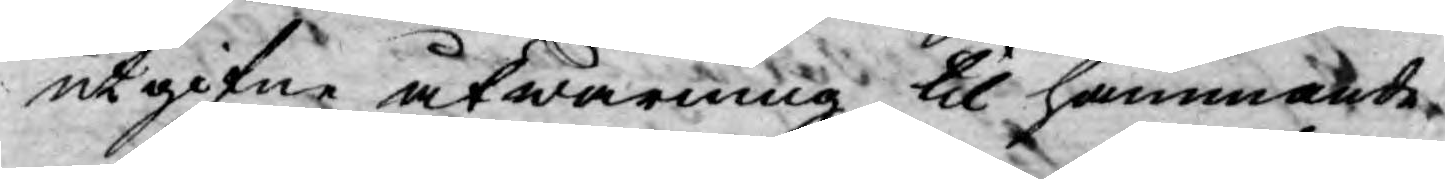utgifne åtwarning til hämmande
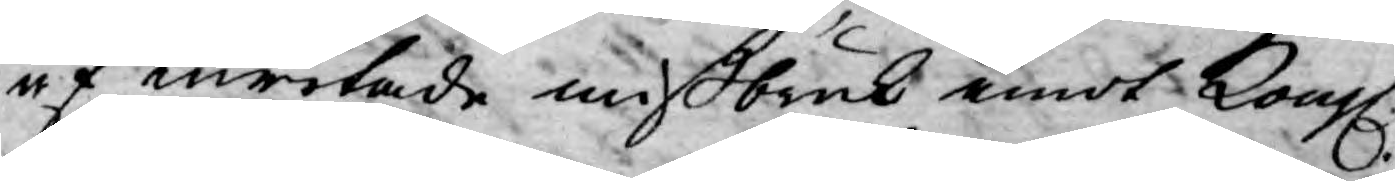af inritade mißbruk emot Kongl.
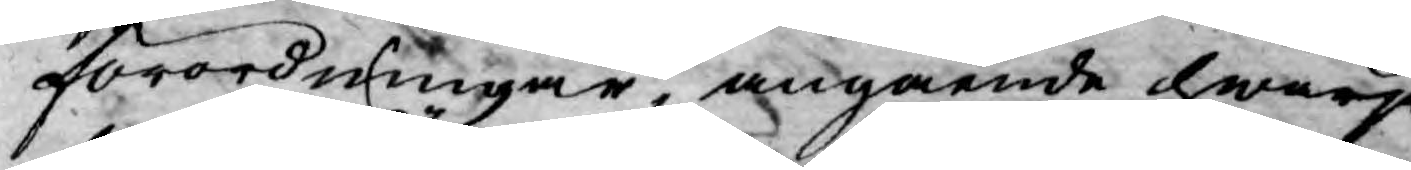förordningar, angående hwarje¬
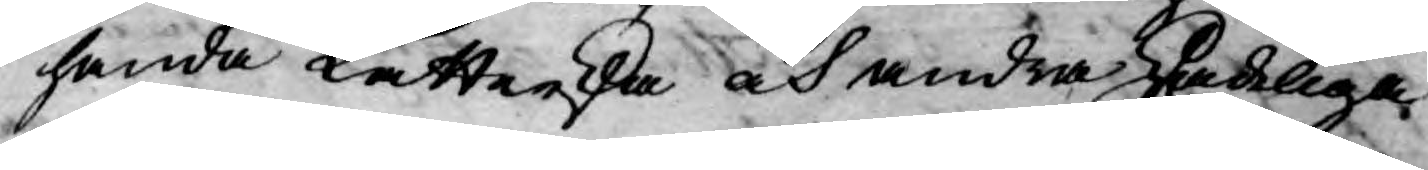handa Lutterska och andra skadeliga
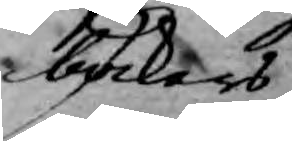böckers
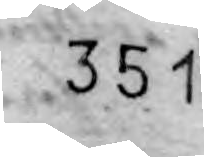351
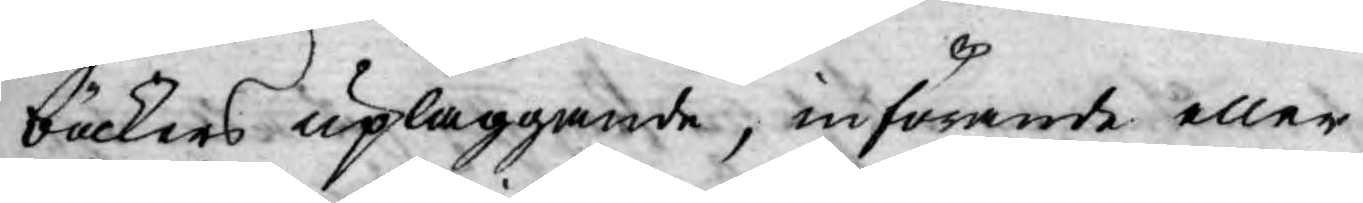böckers upläggande, införande eller
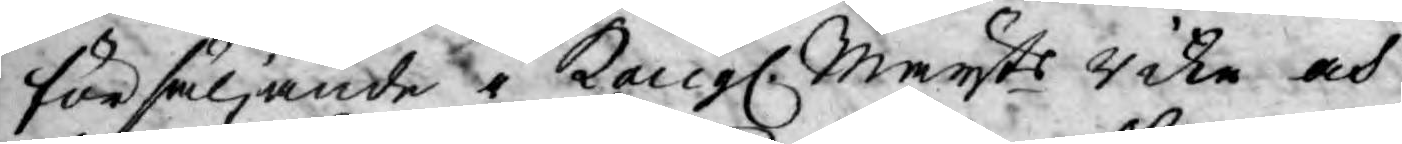försäljande i Kongl. Mayts rike och
